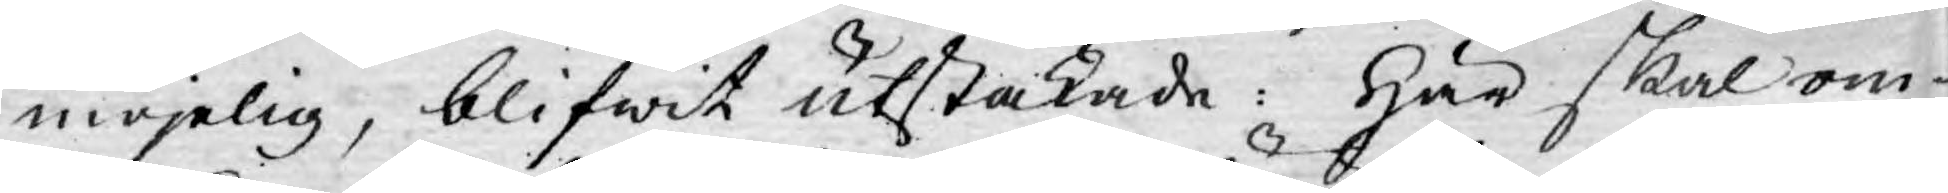möjelig, blifwit utstakade: Här skal om¬
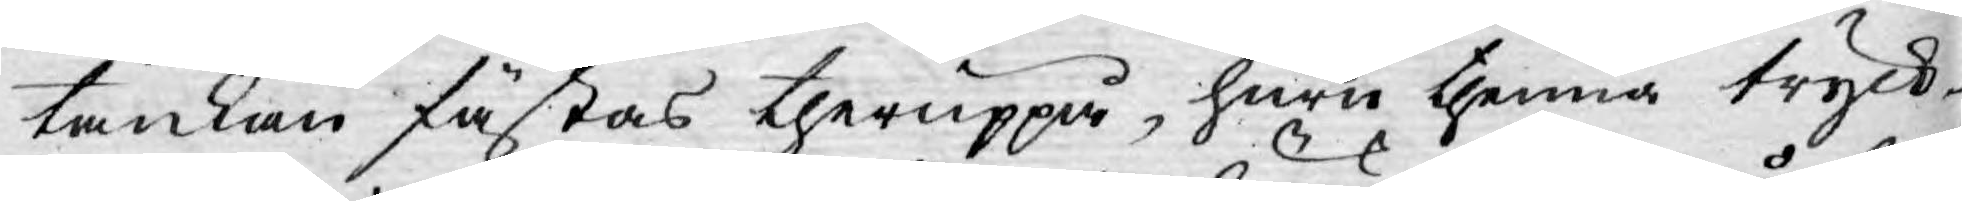tankan fästas theruppå, huru thenna tryck¬
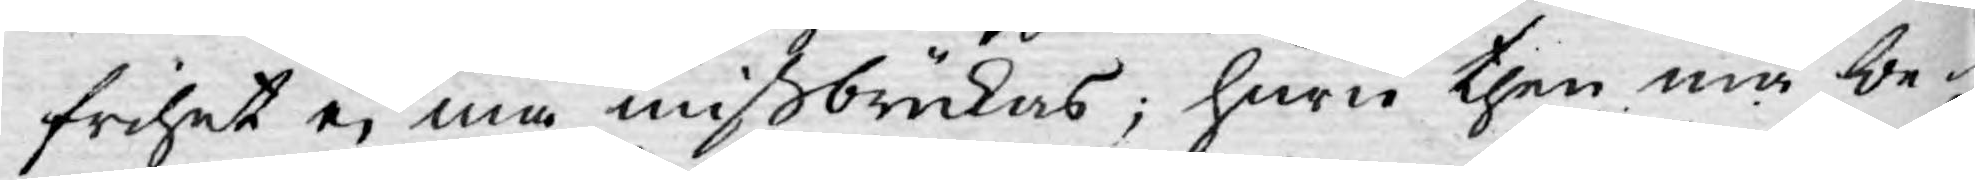frihet ej må mißbrukas; huru then må be¬
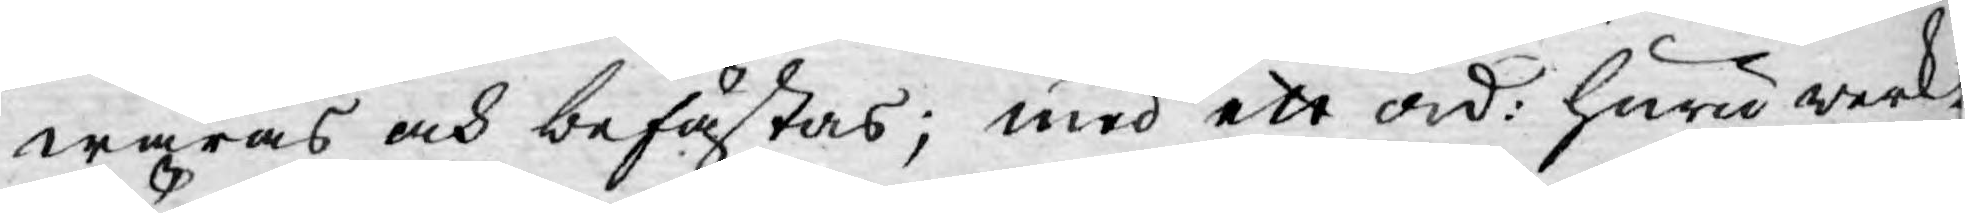waras och befästas; med ett ord: huru werk¬
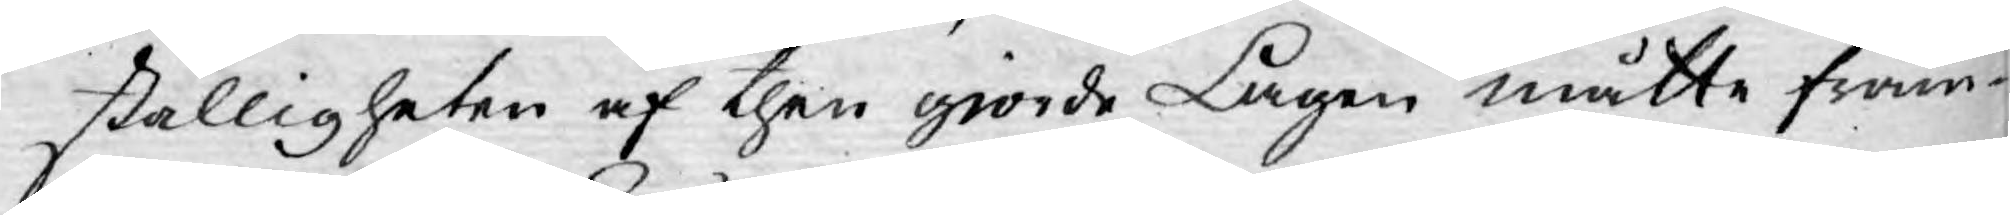ställigheten af then giorde Lagen måtte främ¬
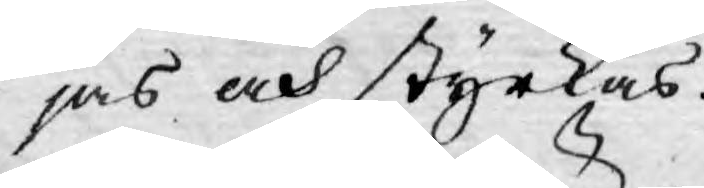jas och styrkas.
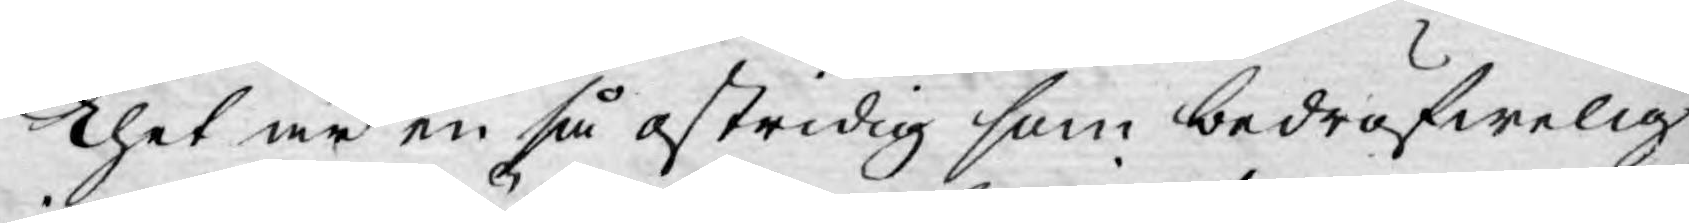Thet är en så ostridig som bedröfwelig
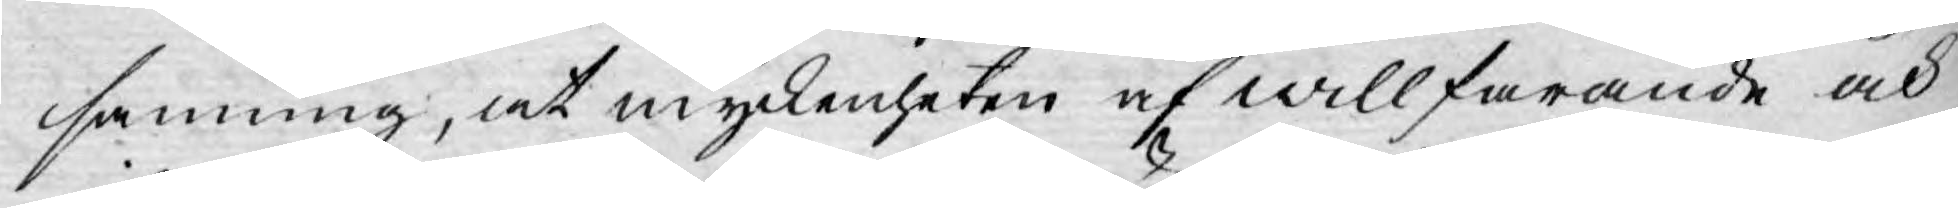sanning, at myckenheten af willfarande och
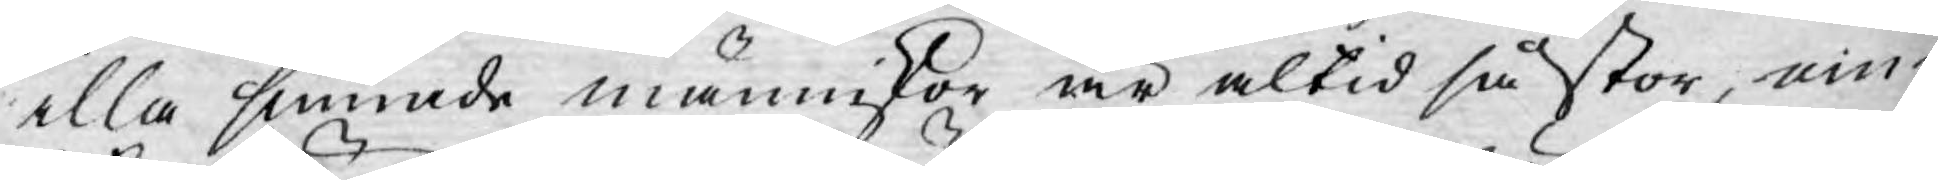alla sinnade människor är altid så stor, om
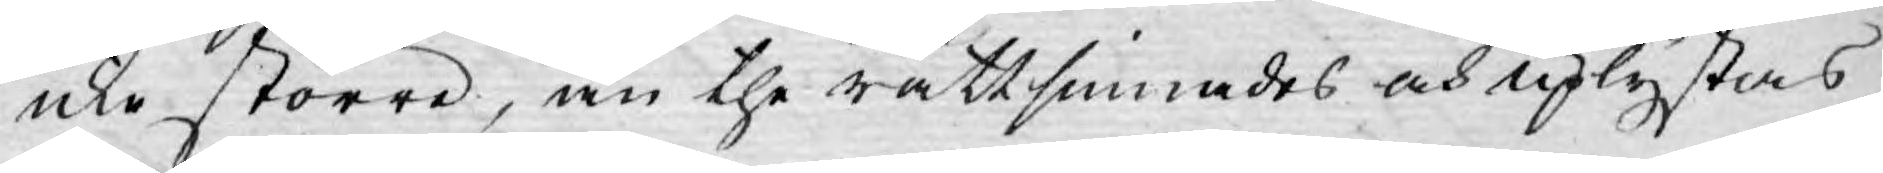icke större, än the rättsinnades och uplystas
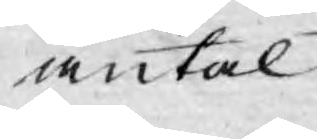antal.
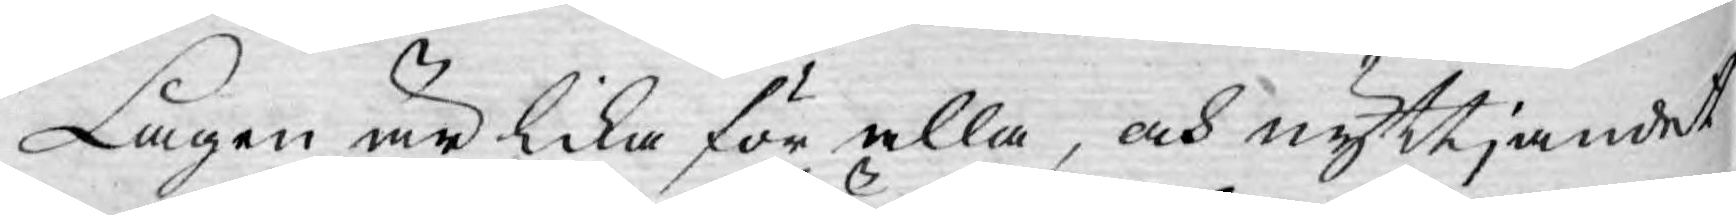Lagen är lika för alla, och nyttjandet
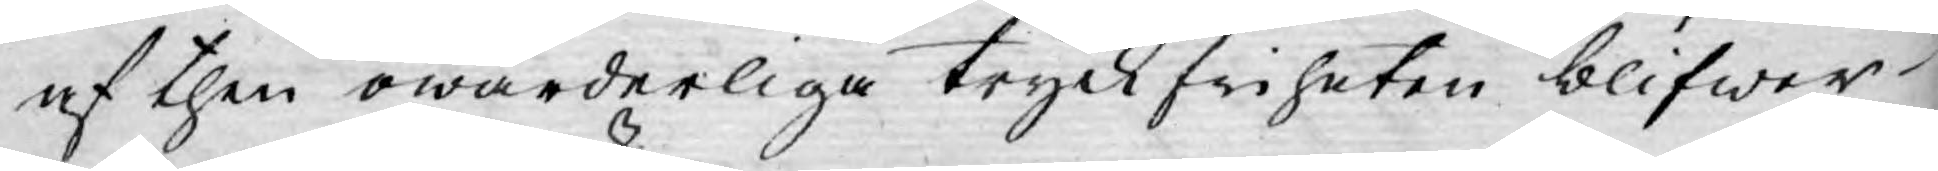af then owärderliga tryckfriheten blifwer
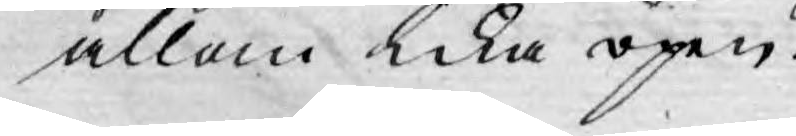allom lika öpen.
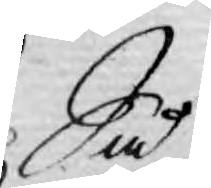Så
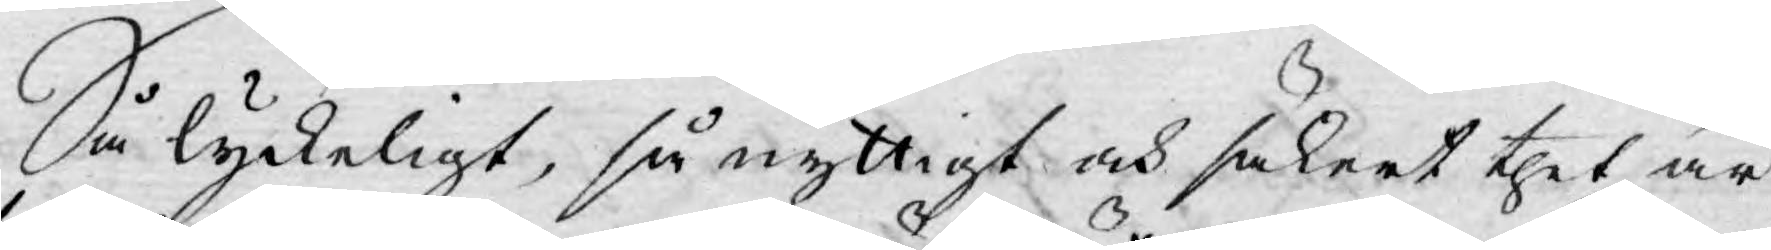Så lyckeligt, så nyttigt och säkert thet är
